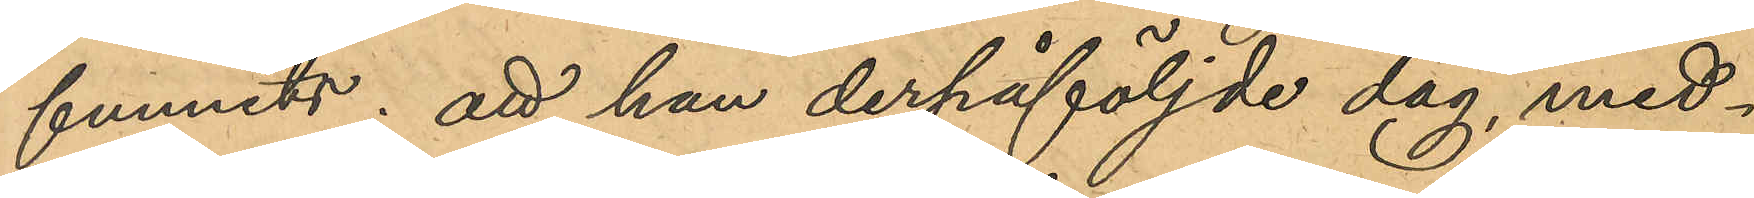funnits; att han derpåföljde dag, med¬
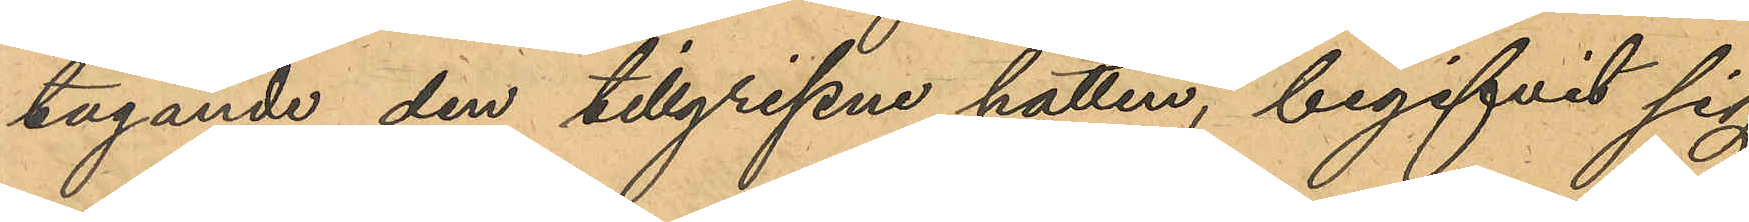tagande den tillgripne hatten, begifvit sig
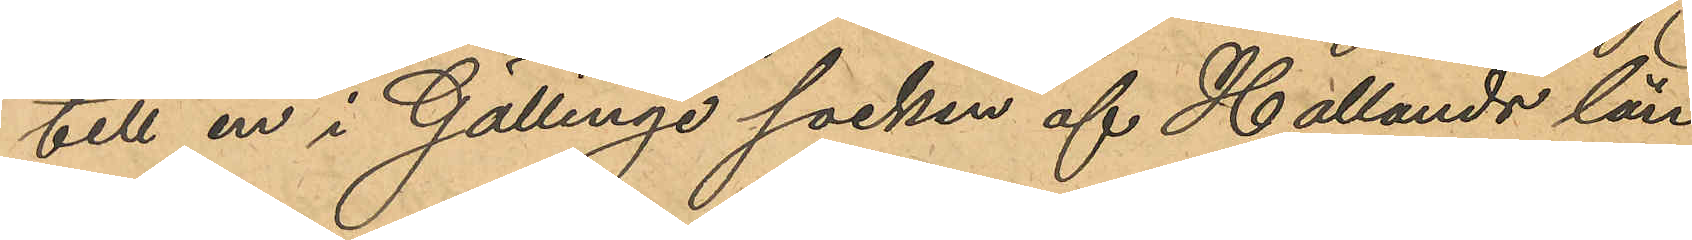till en i Gällinge socken af Hallands län
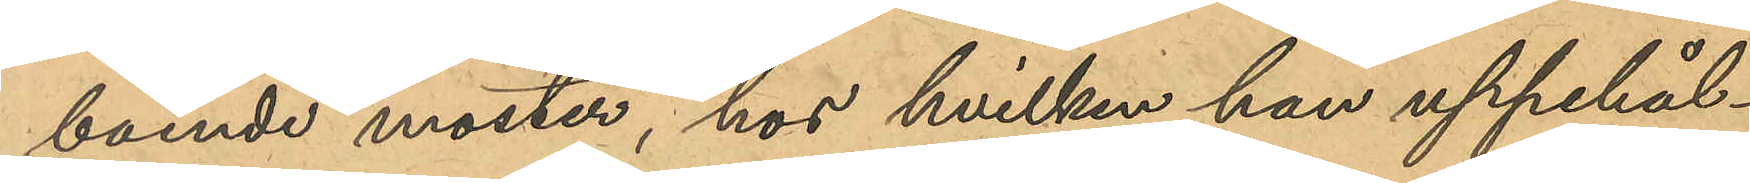boende moster, hos hvilken han uppehål¬
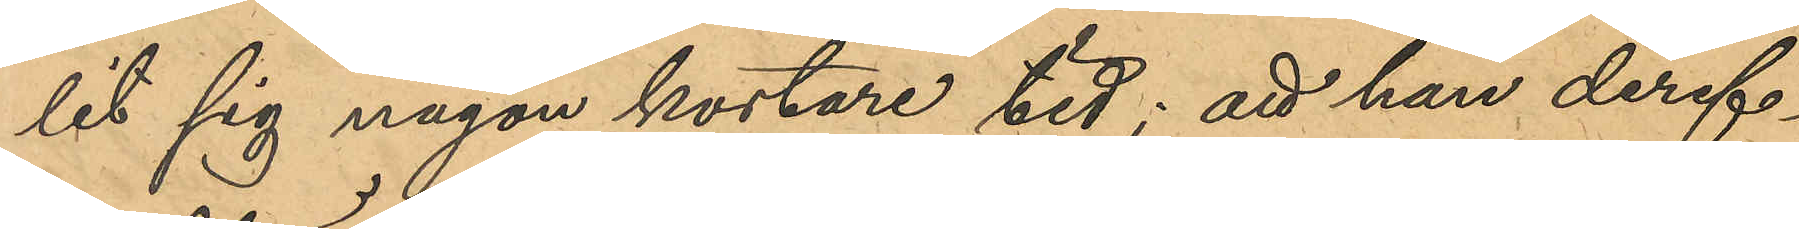lit sig någon kortare tid; att han deref¬
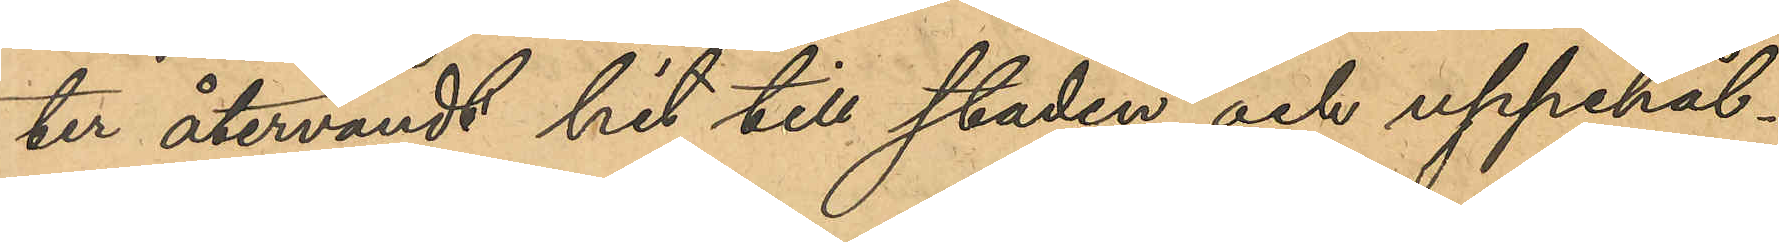ter återvändt hit till staden och uppehål¬
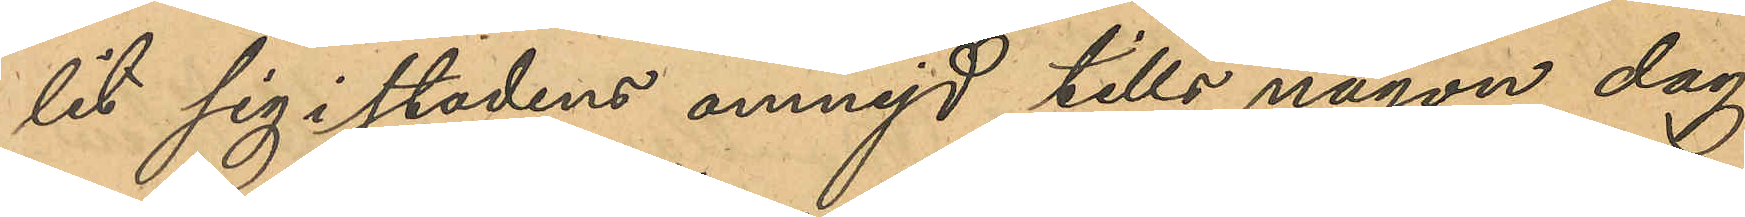lit sig i stadens omnejd tills någon dag
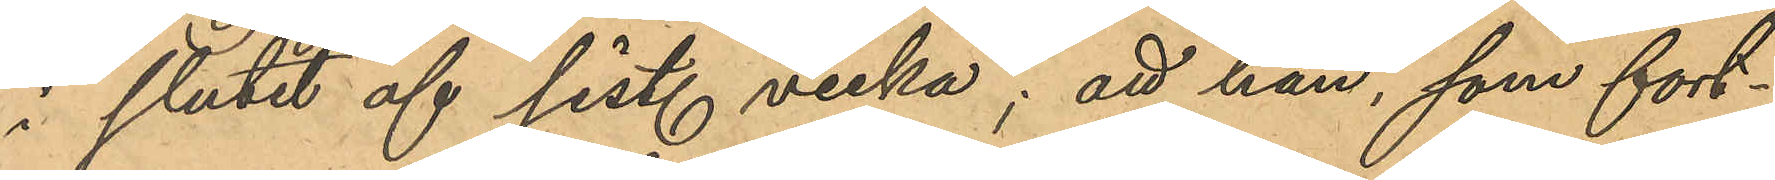i slutet af sist. vecka; att han, som fort¬
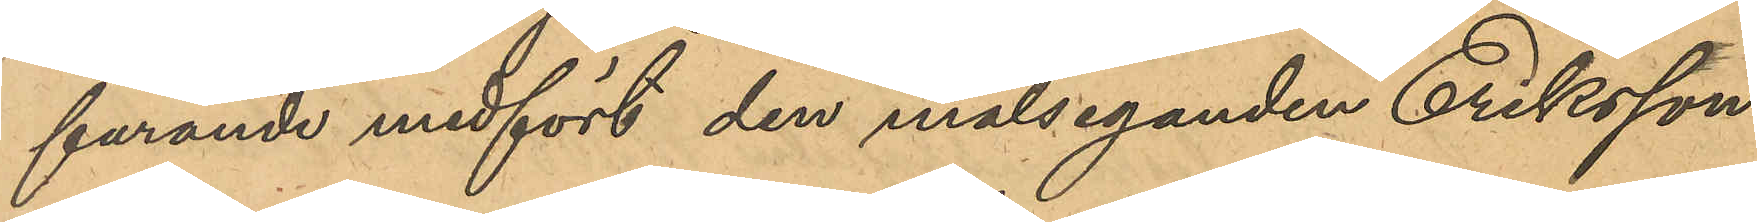farande medfört den målseganden Eriksson
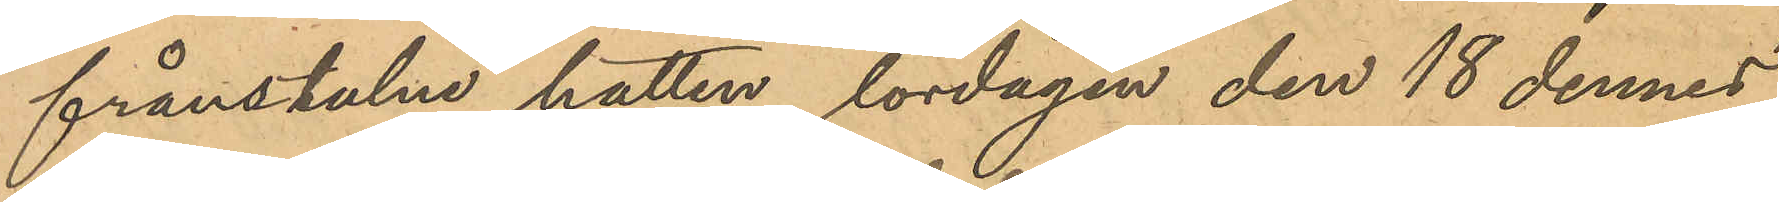frånstulne hatten, lördagen den 18 dennes
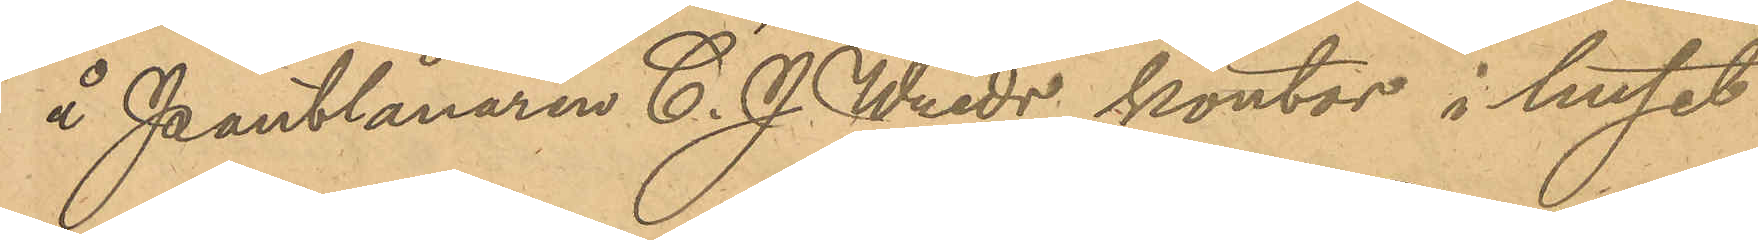å Pantlånaren C. J. Wreds kontor i huset
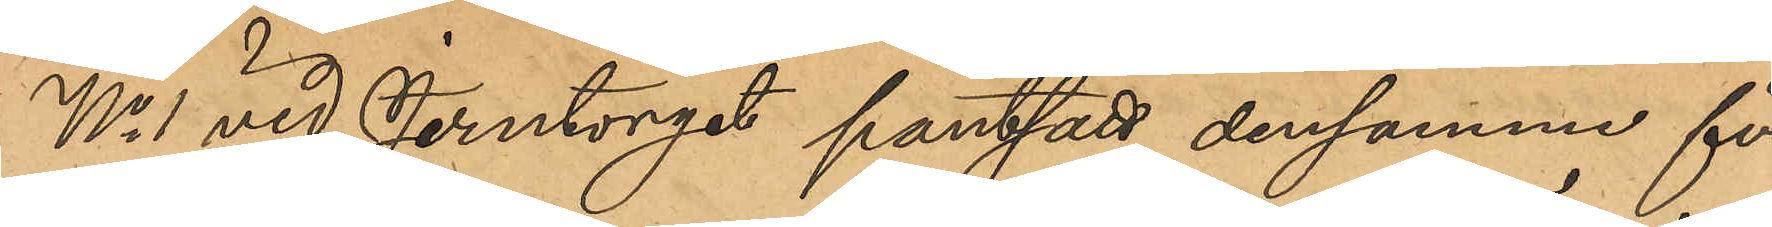No 1 vid Jerntorget pantsatt densamme för
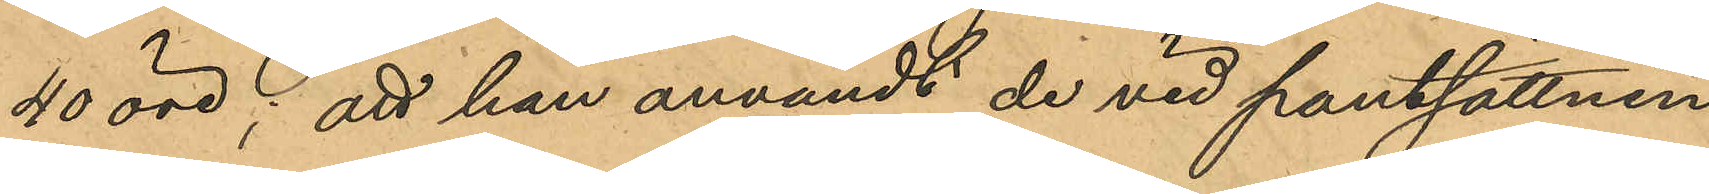40 öre; att han användt de vid pantsättnin¬
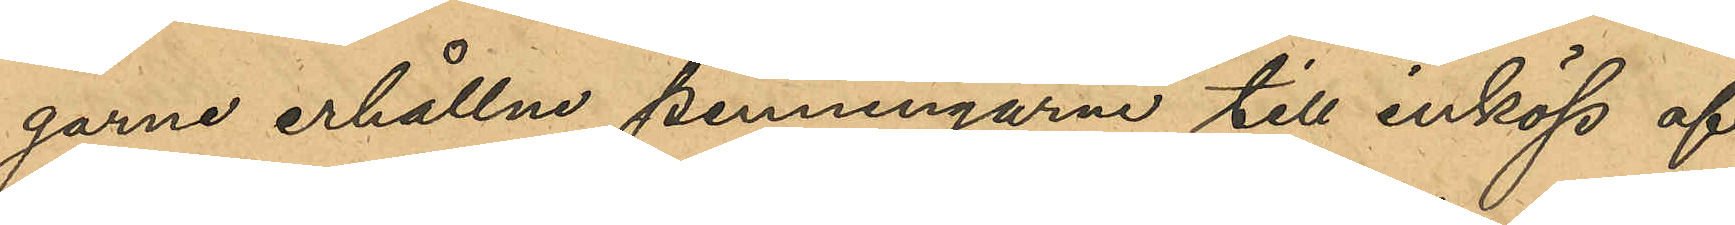garne erhållna penningarne till inköp af
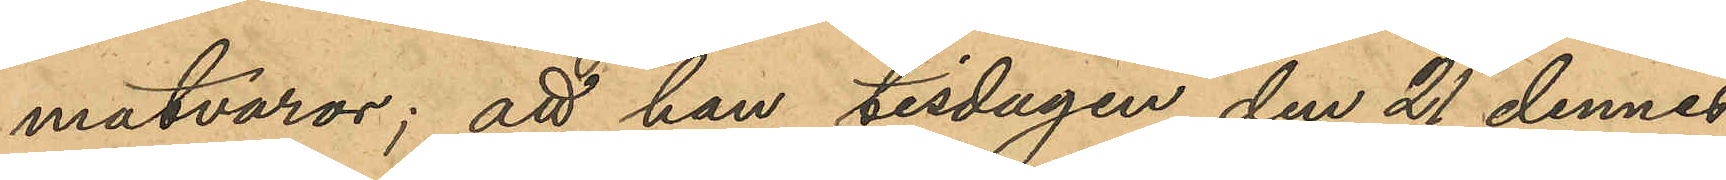matvaror; att han tisdagen den 21 dennes
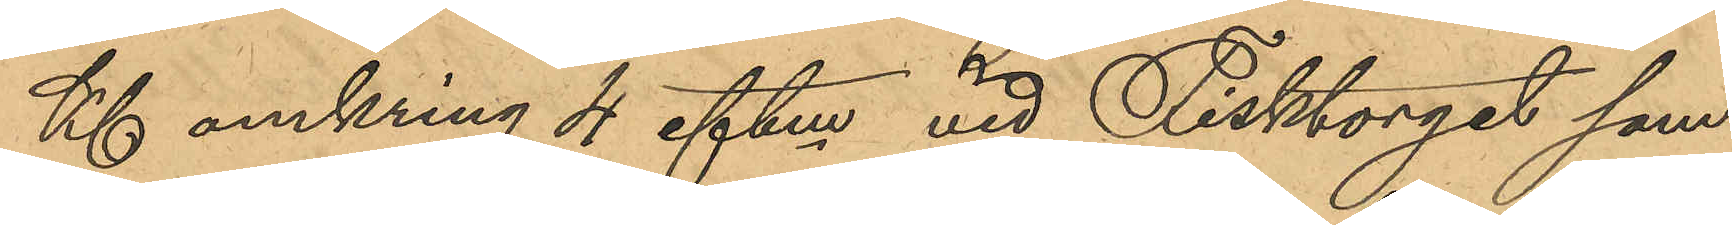Kl omkring 4 eftm vid Fisktorget sam¬
